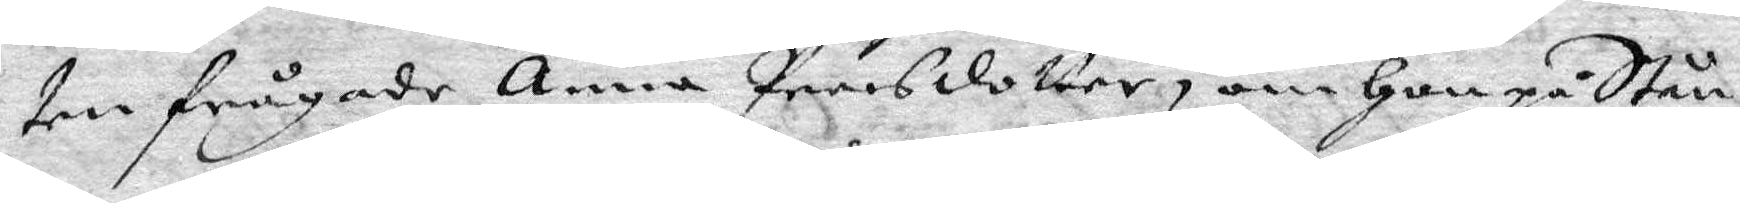ten frågade Anna Peersdotter om Hon på Stån¬
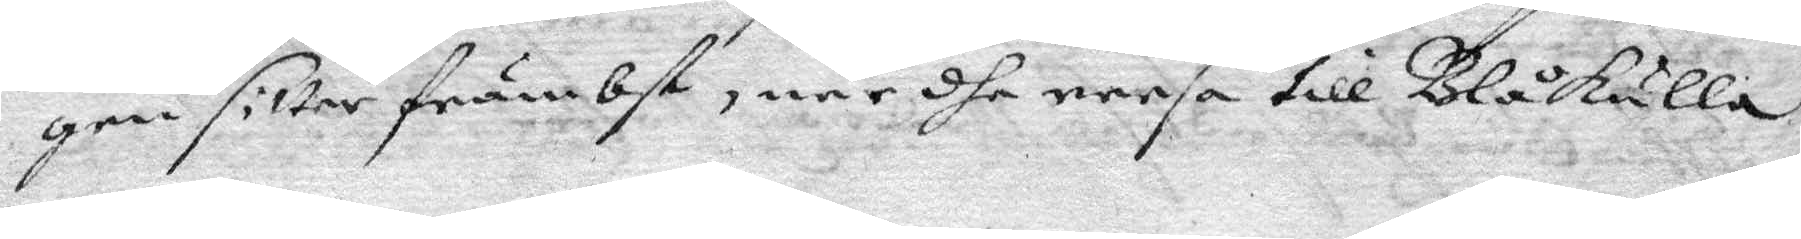gen sitter främbst, när dhe reesa till Blåkulla?
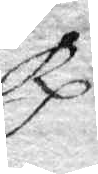Rp.
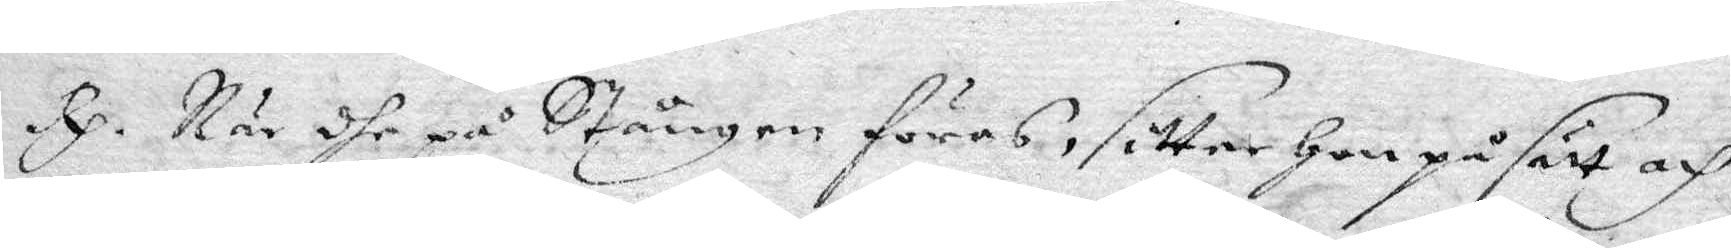Rp. När dhe på Stången föres, sitter Hon på sätt och
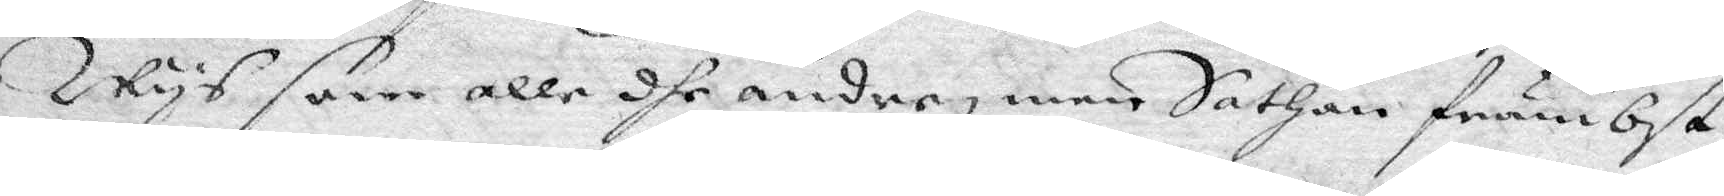wys som alle dhe andre, men Sathan främbst
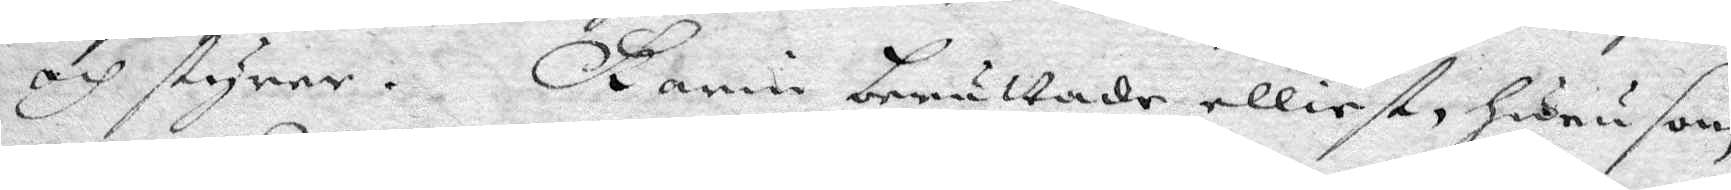och styrer. karin berättade elliest huru som
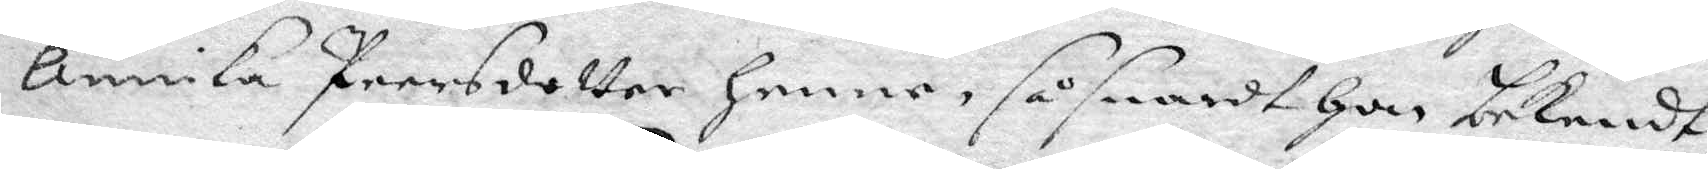Annika Peersdotter henne så snart Hon bekendt,
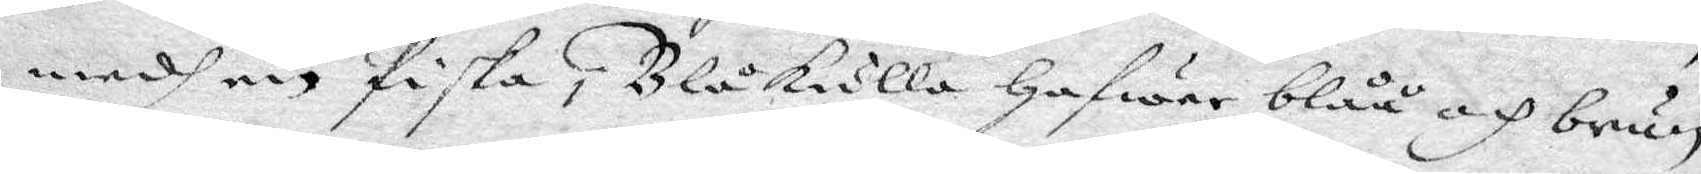medh en Piska i Blåkulla Hafwer blåå och brun
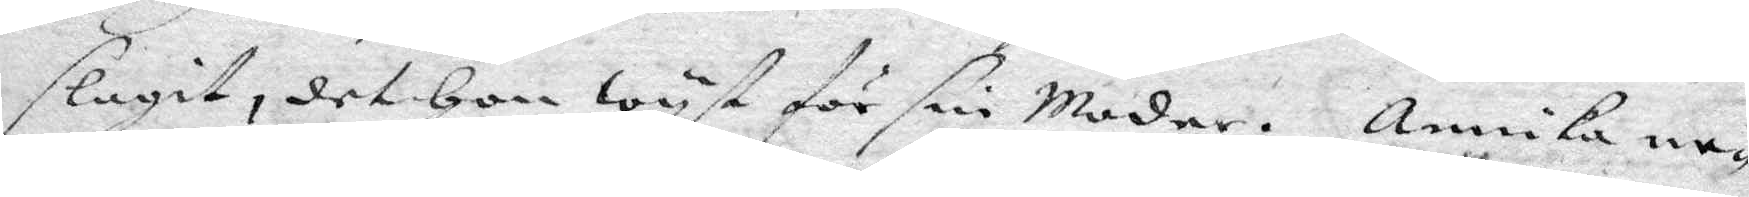slagit, det Hon wyst för sin Moder. Annika ne¬
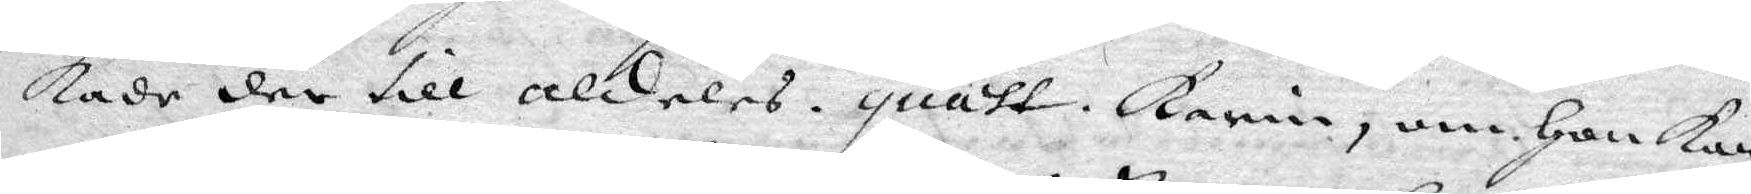kade der till aldeles. quast. Karin, om Hon kan
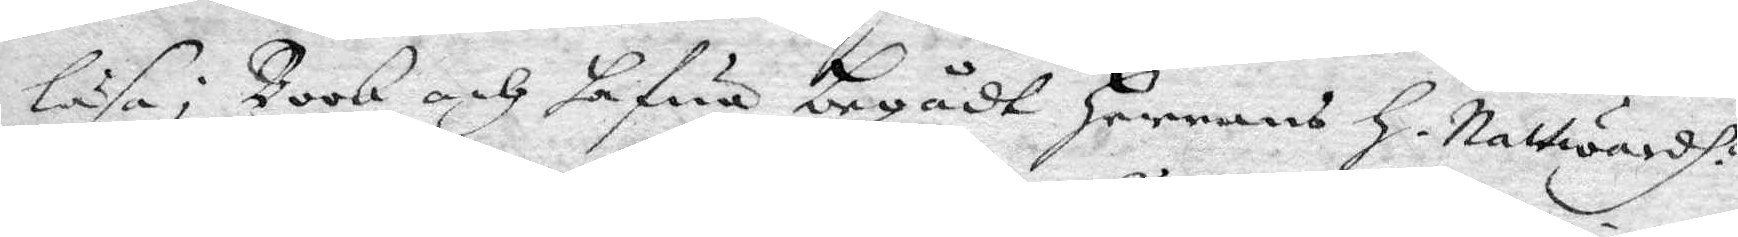läsa i Book och hafua begådt Herrens H. Nattwardh?
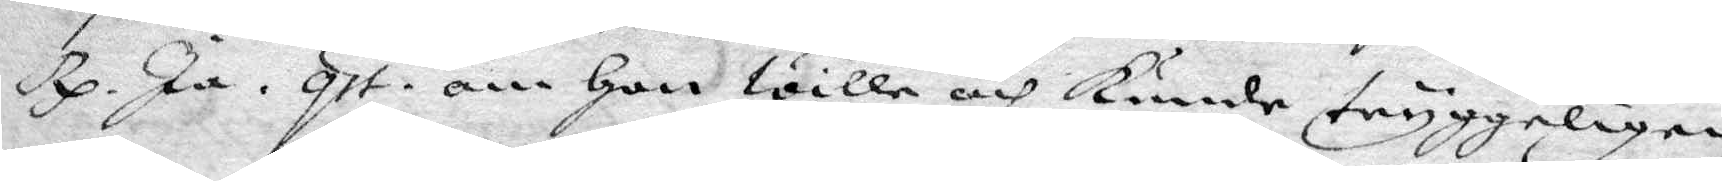Rp. Ja. qst. om Hon wille och kunde tryggeligen
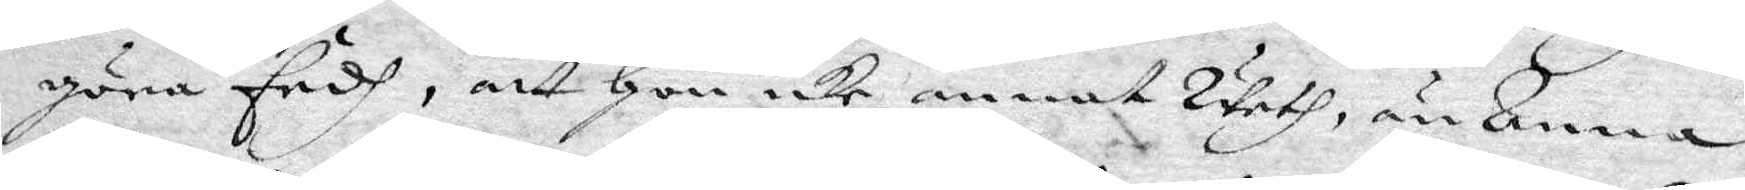göra Eedh, att Hon icke annat weth  än Anna
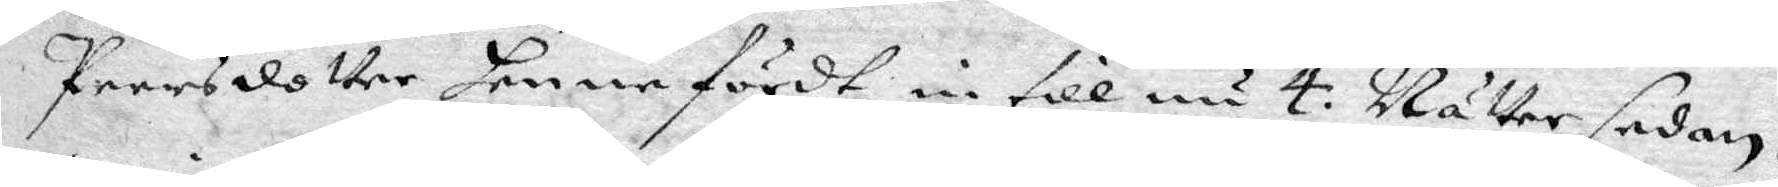Peersdotter henne fördt in till nu 4: Nätter sedan?
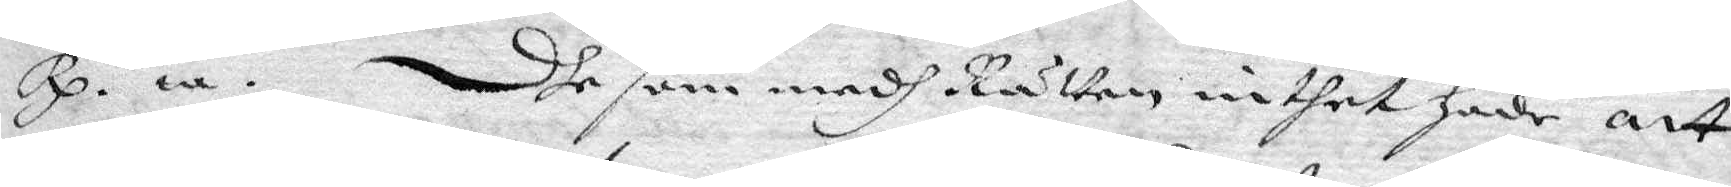Rp. ia. Dhe som medh Rätten inthet Hade att
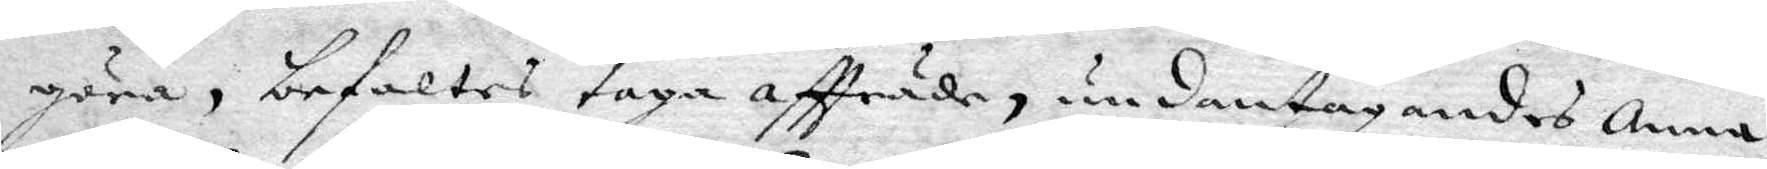göra, befaltes taga affträde, undantagandes Anna
